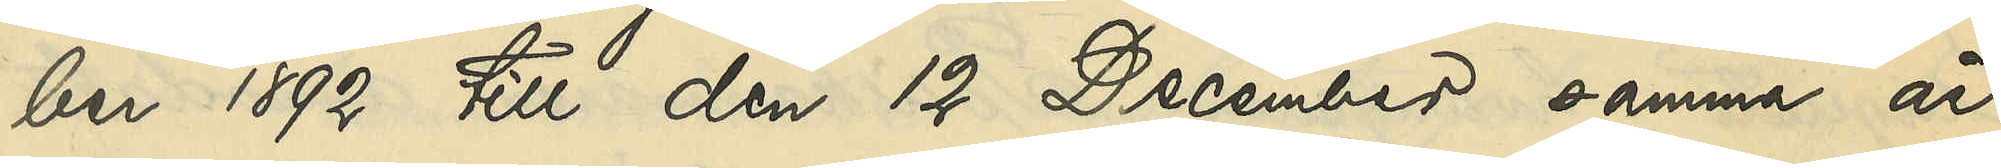ber 1892 till den 12 December samma år,
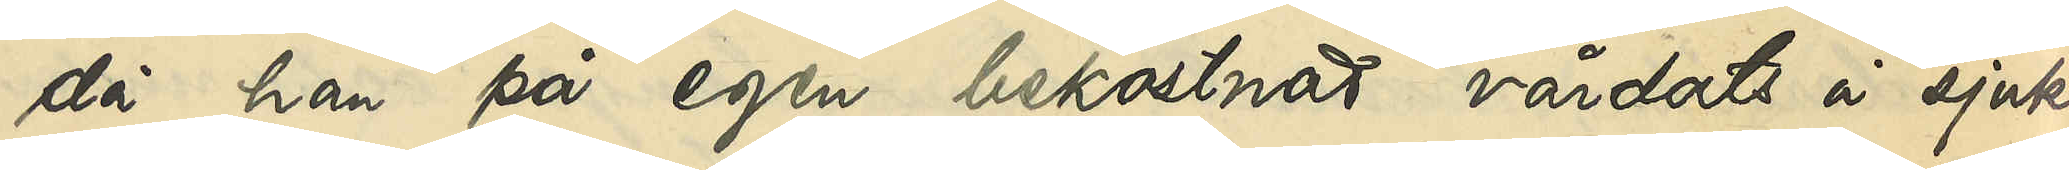då han på egen bekostnad vårdats å sjuk¬
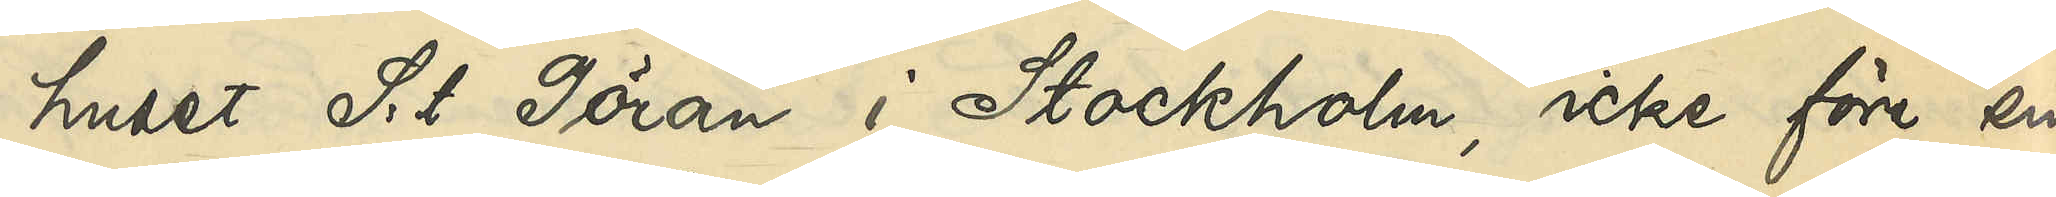huset S:t Göran i Stockholm, icke före sin
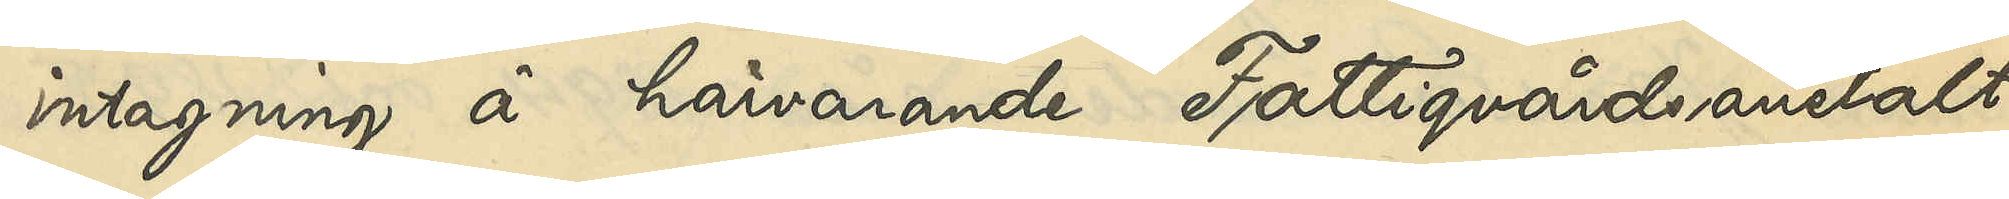intagning å härvarande Fattigvårdsanstalt
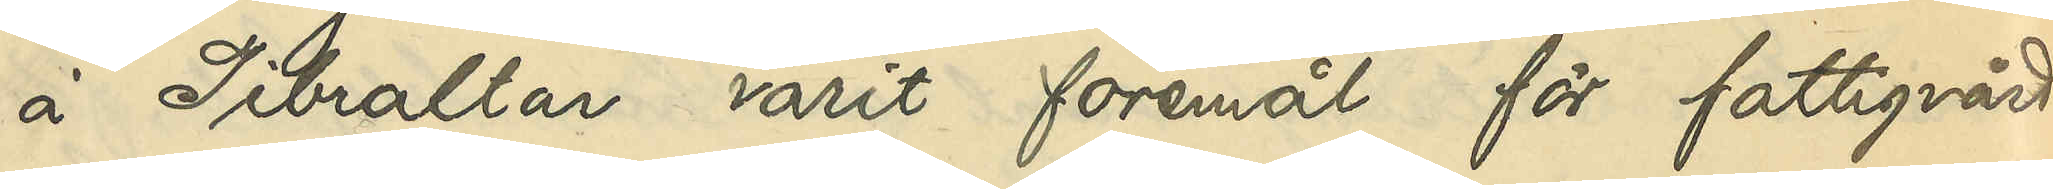å Gibraltar varit föremål för fattigvård
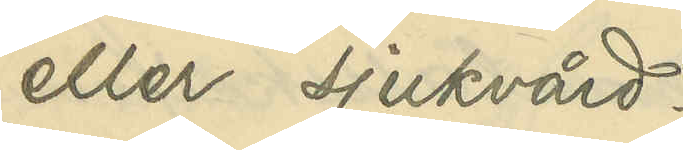eller sjukvård.
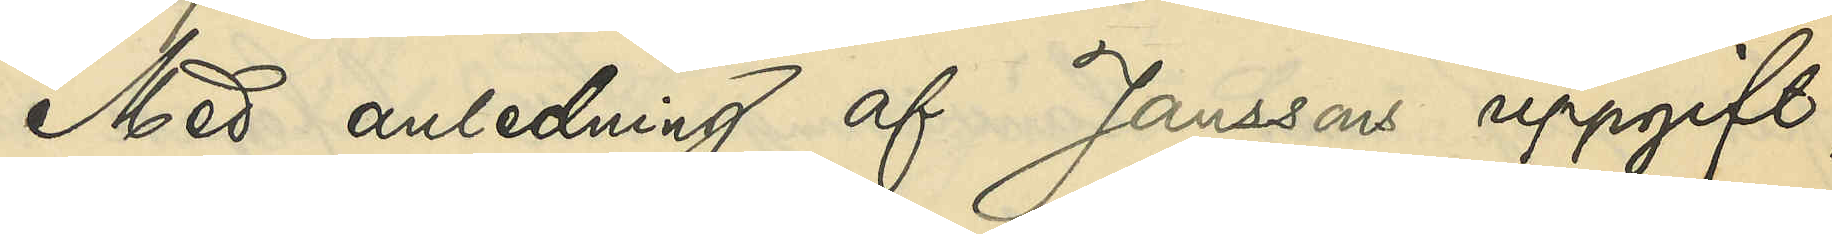Med anledning af Janssons uppgift,
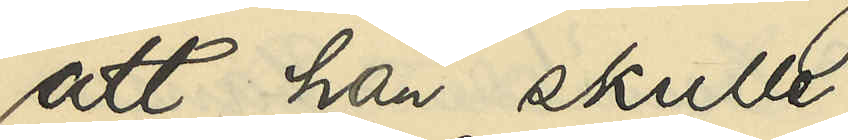att han skulle
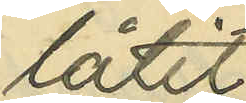låtit
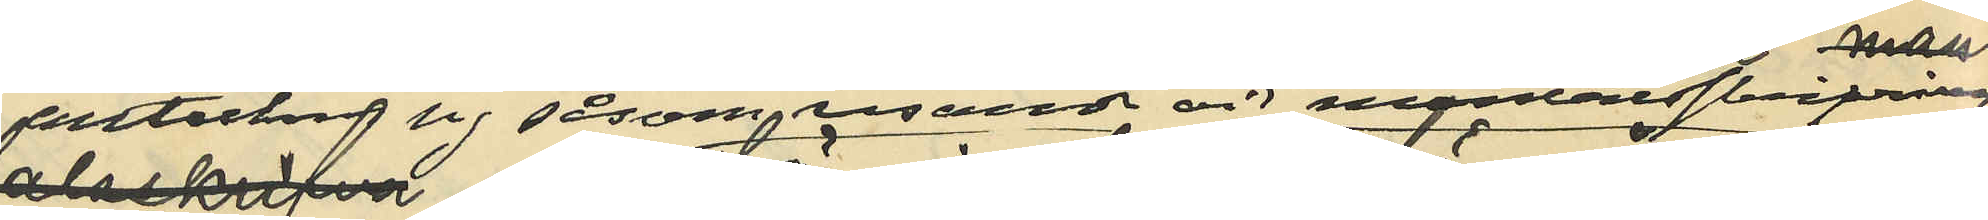anteckna sig såsom resande vid mantalsskrifningen
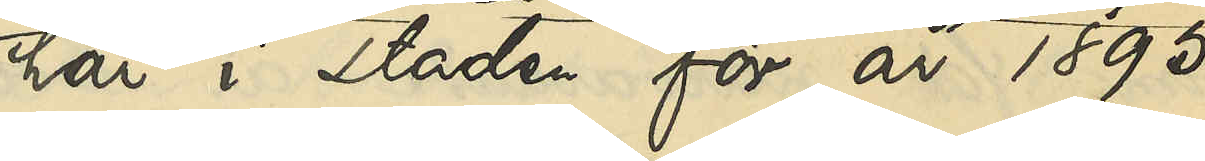här i staden för år 1895,
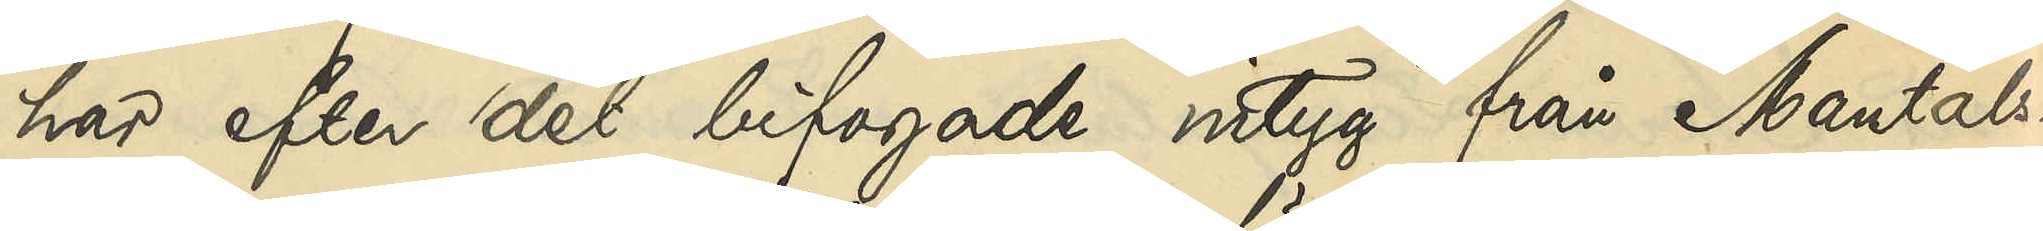har efter det bifogade intyg från Mantals¬
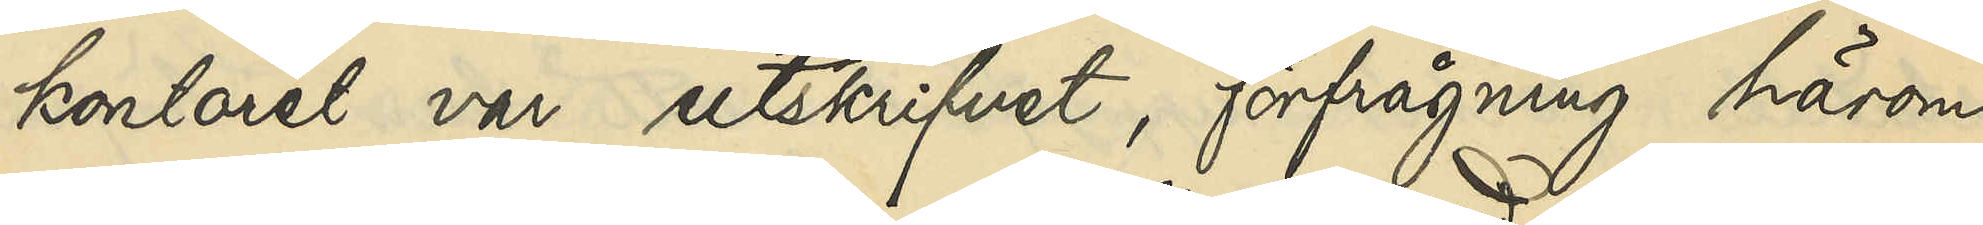kontoret var utskrifvet, förfrågning härom
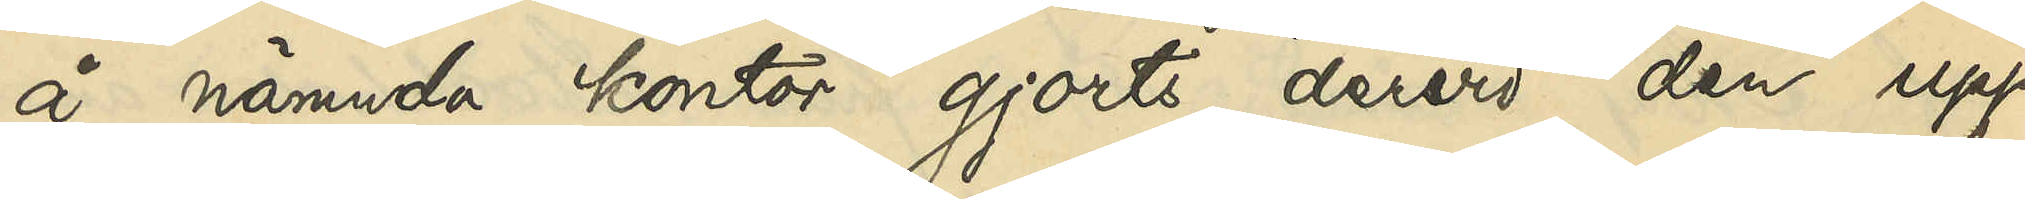å nämnda kontor gjorts, dervid den upp¬
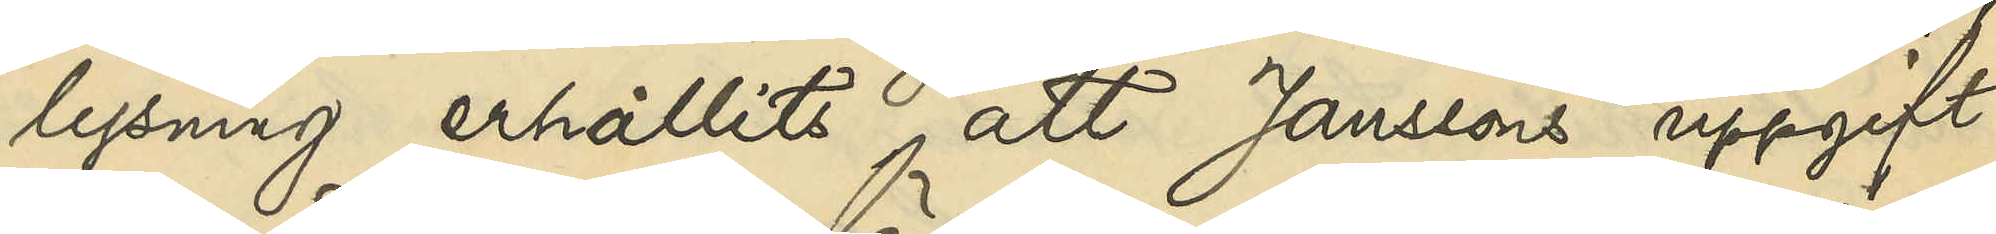lysning erhållits, att Janssons uppgift
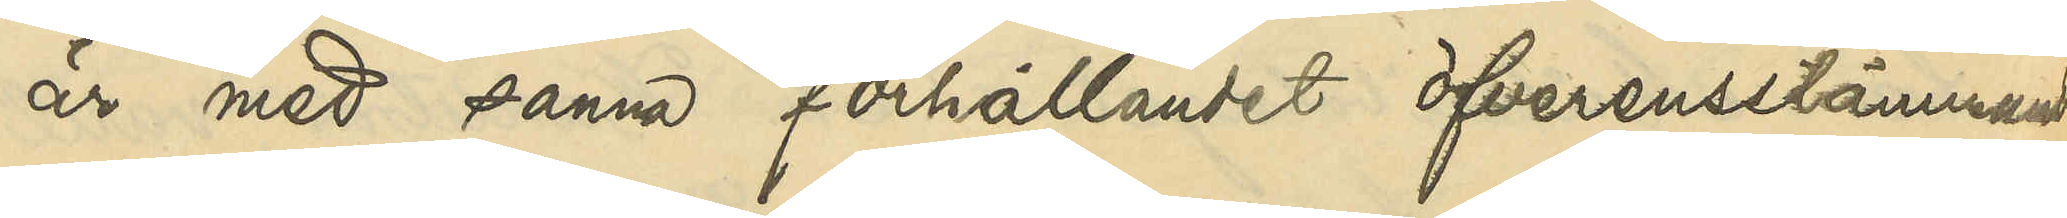är med sanna förhållandet öfverensstämmande.
